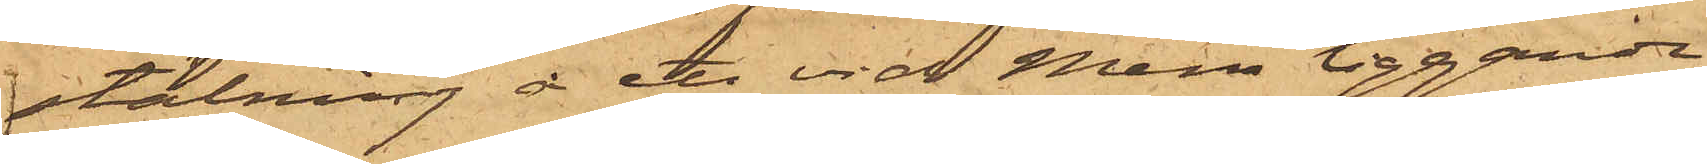stälning vid ett vid Mem liggande
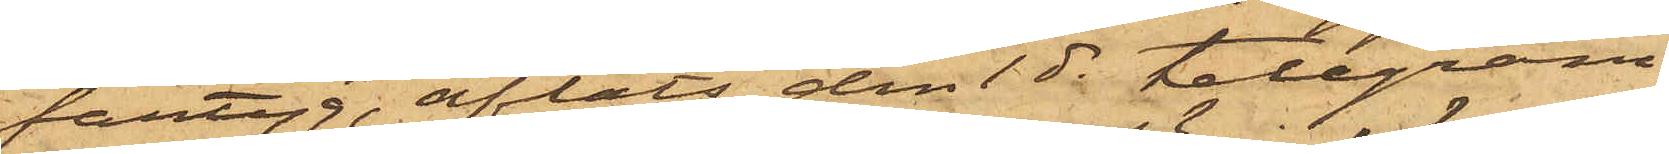fartyg, afläts den 1 ds telegram
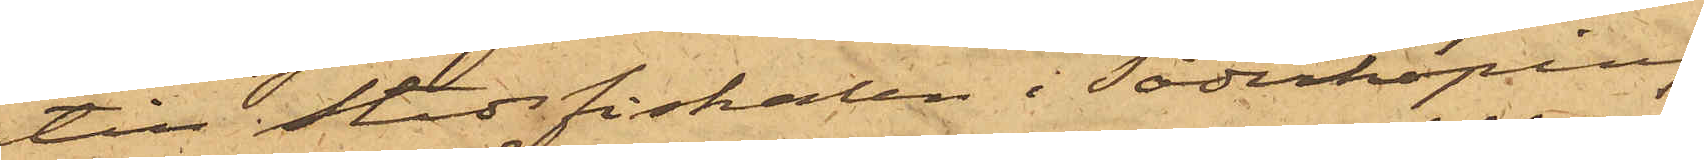till Stadsfiskalen i Söderköping
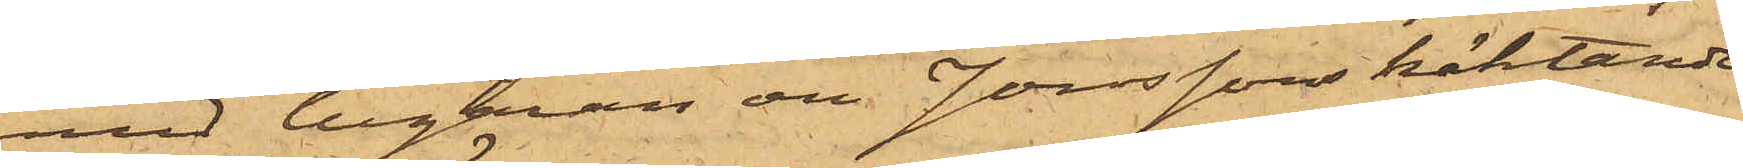med begäran om Jonssons häktande
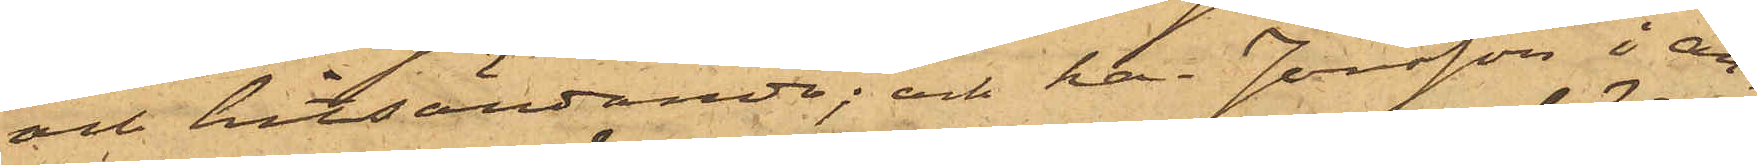och hitsändande; och har Jonsson i an¬
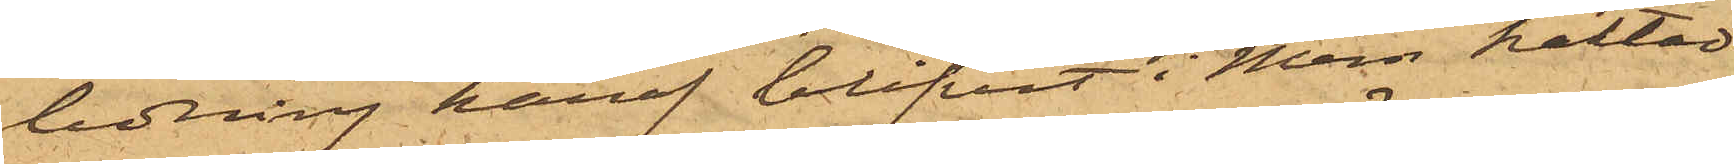ledning häraf blifvit i Mem häktad
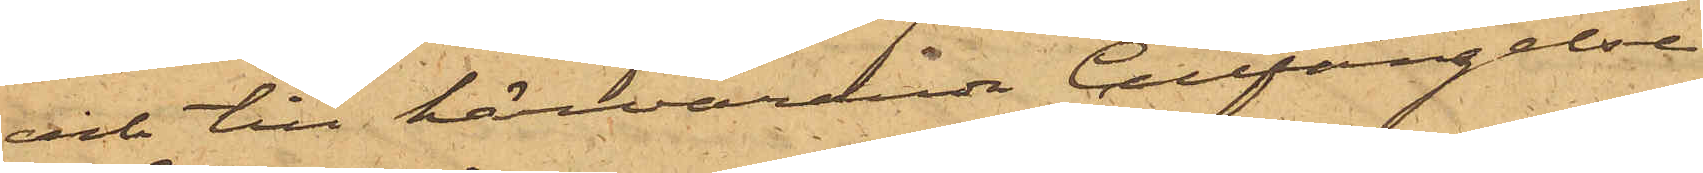och till härvarande Cellfängelse
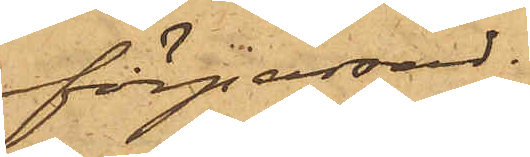förpassad.
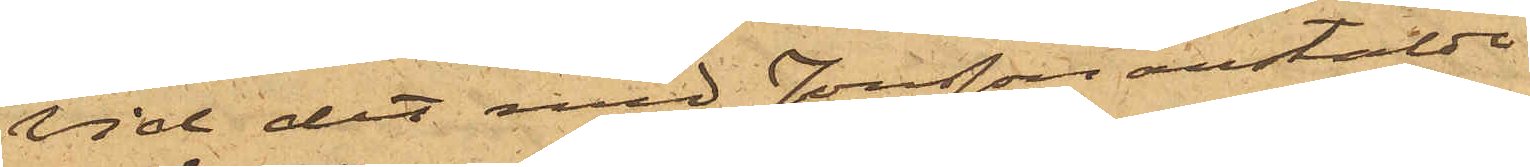Vid det med Jonsson anstälde
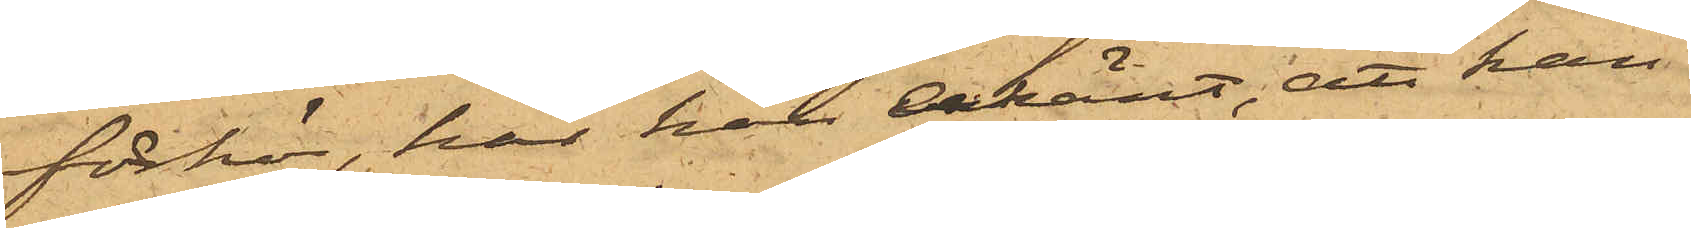förhör, har han erkänt, att han
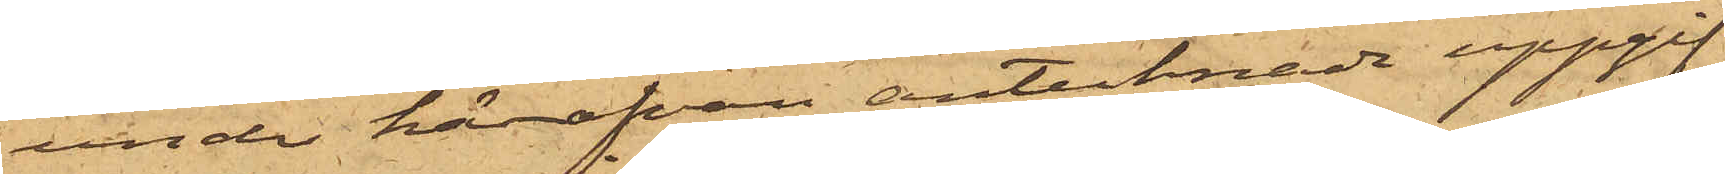under härofvan antecknade uppgif¬
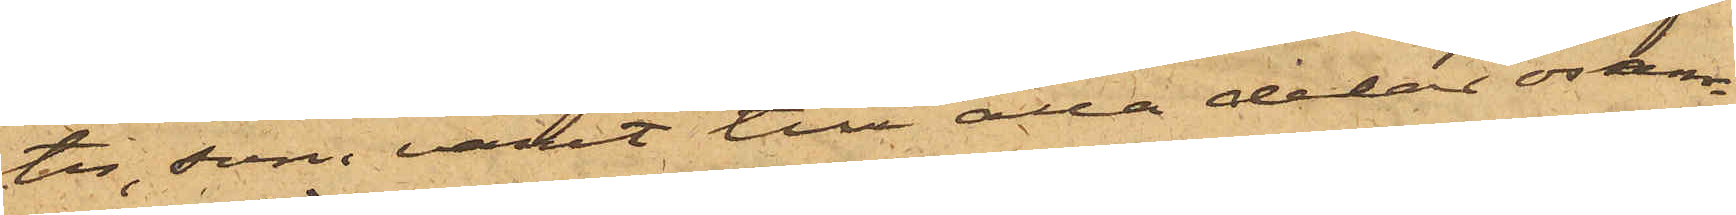ter, som varit till alla delar osan¬
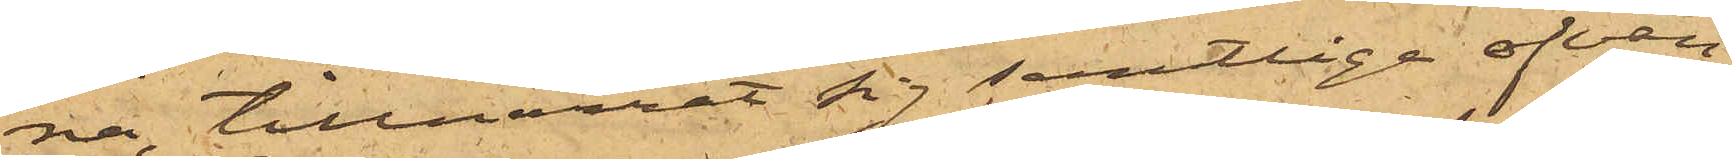na, tillnarrat sig samtlige ofvan¬
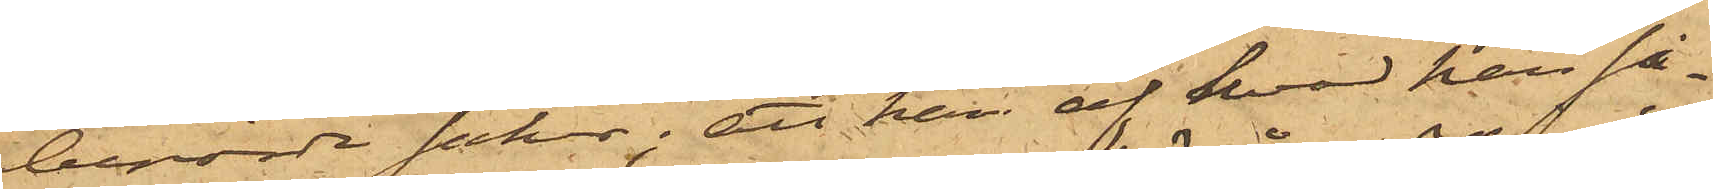berörde saker; att han af hvad han så¬
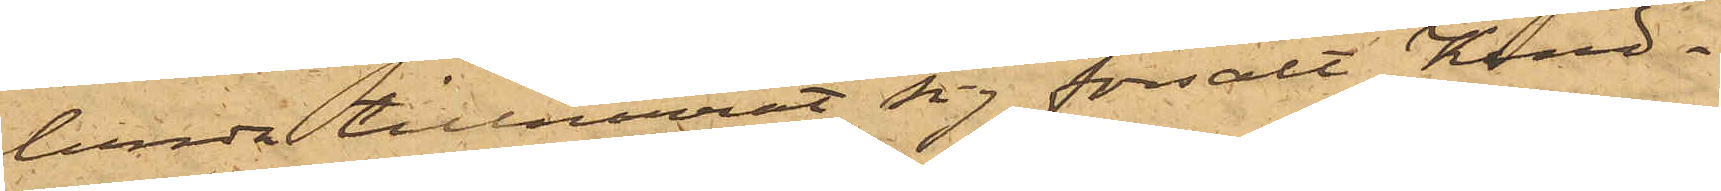lunda tillnarrat sig försålt Kind¬
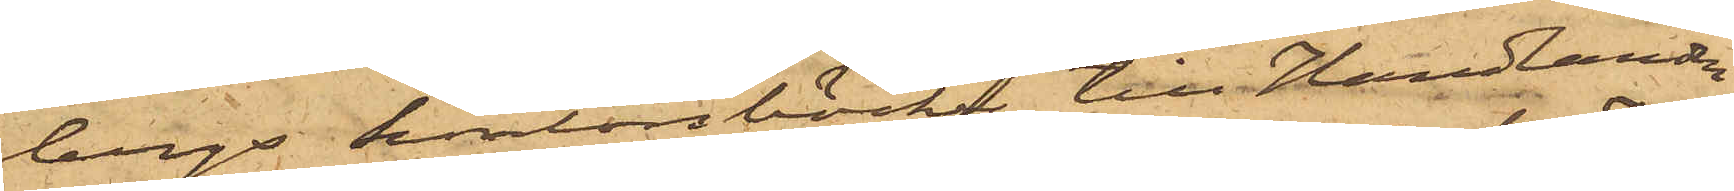bergs kontorsböcke till Handlanden
